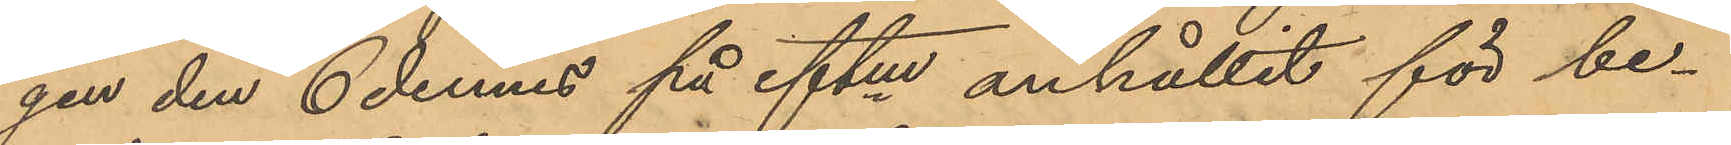gen den 6 dennes på eftm anhållit för be¬
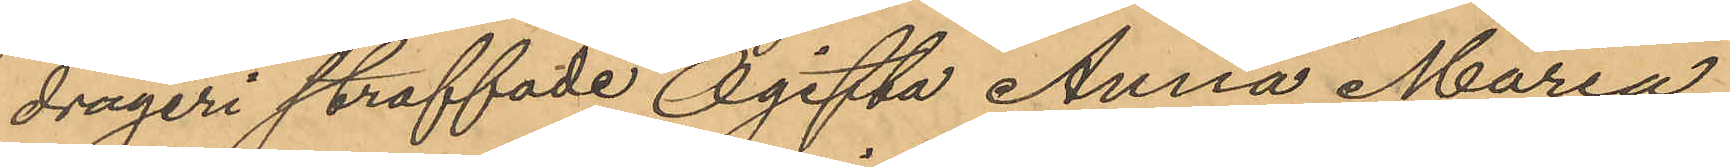drägeri straffade Ogifta Anna Maria
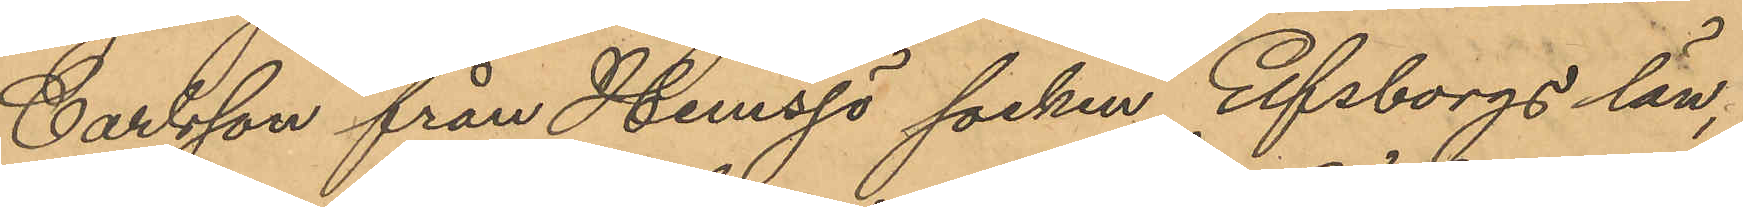Carlsson från Hemsjö socken Elfsborgs län,
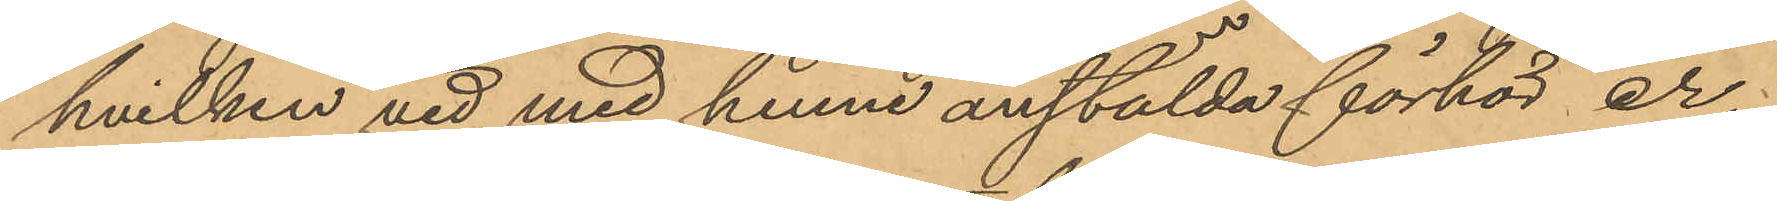hvilken vid med henne anstälda förhör er¬
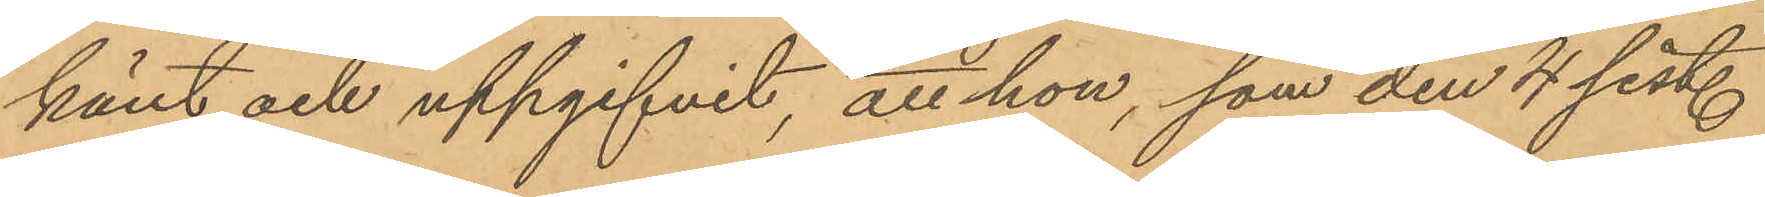känt och uppgifvit, att hon, som den 4 sist.
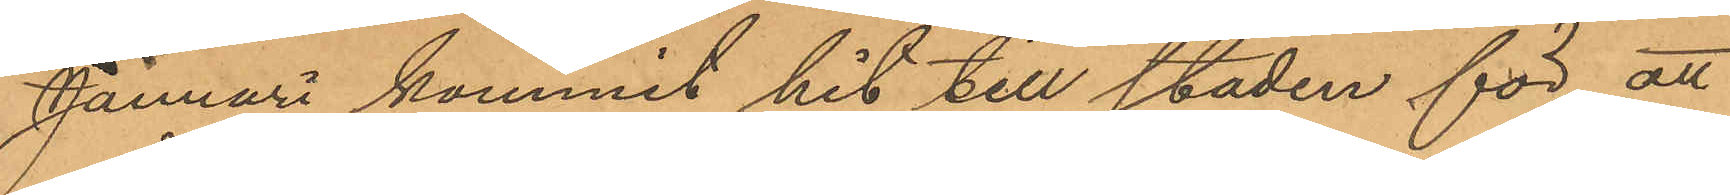Januari kommit hit till staden för att
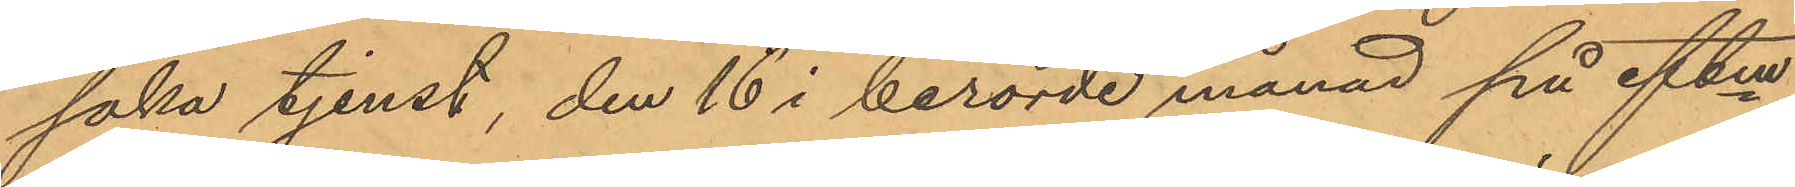söka tjenst, den 16 i berörde månad på eftm
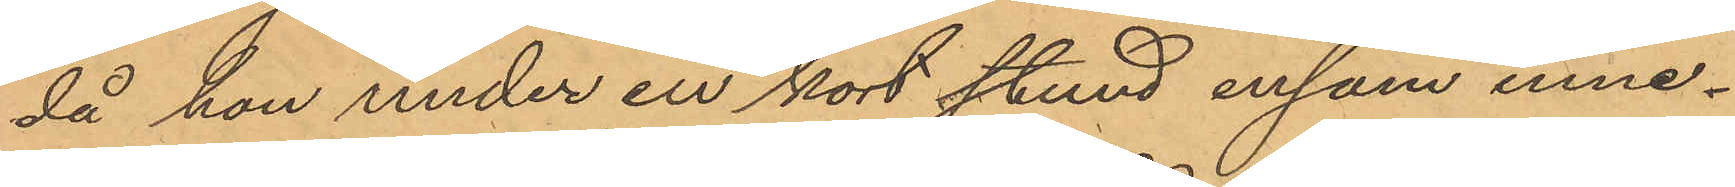då hon under en kort stund ensam inne¬
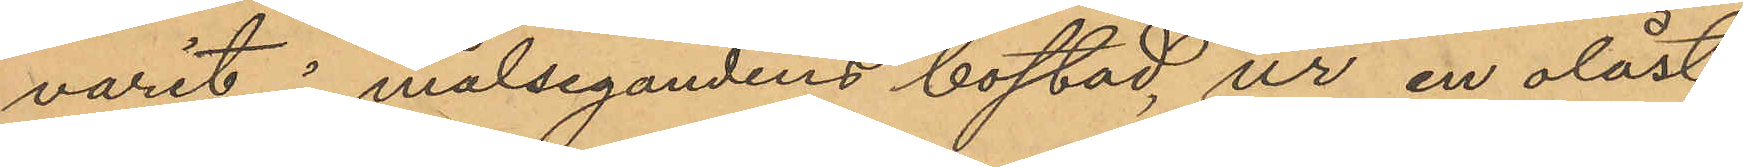varit i målsegandens bostad, ur en olåst
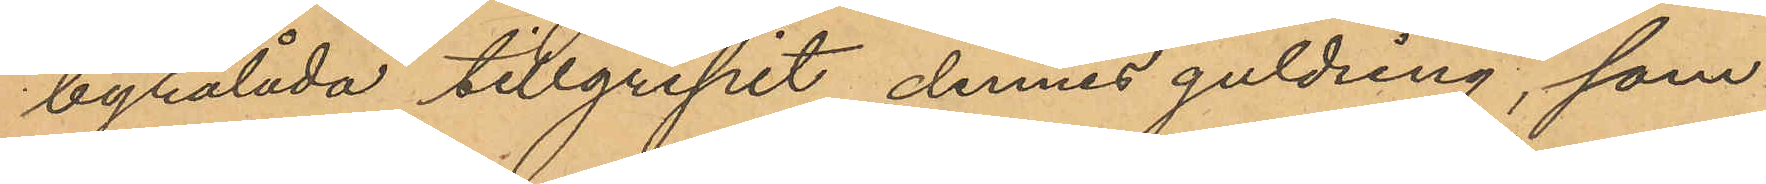byrålåda tillgripit dennes guldring, som
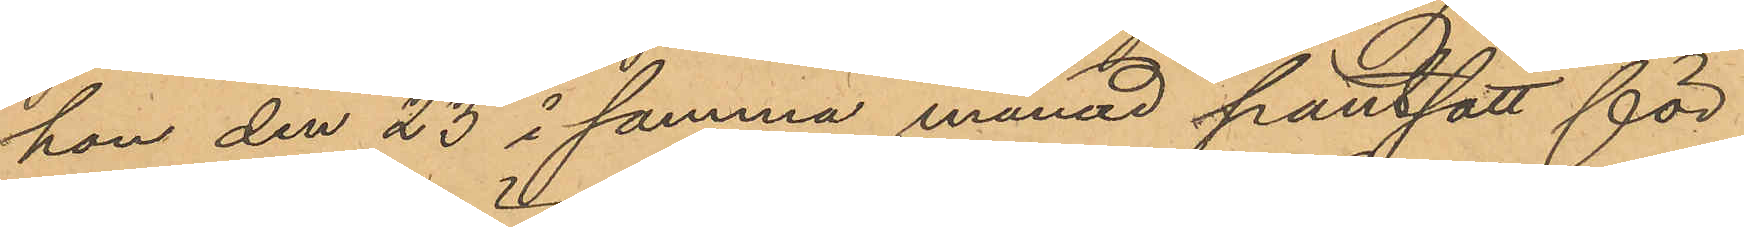hon den 23 i samma månad pantsatt för
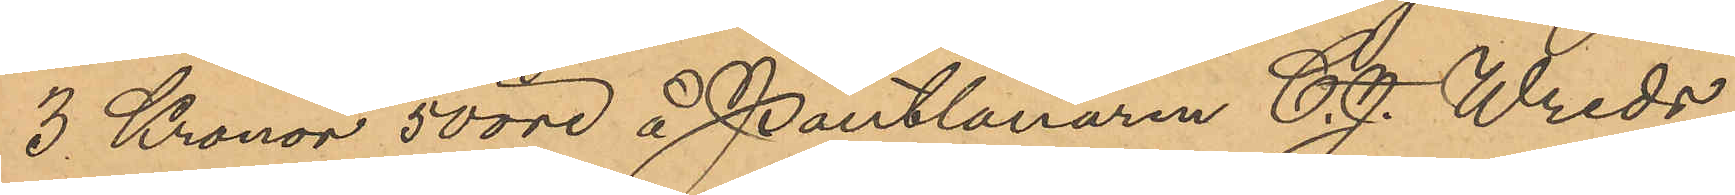3 Kronor 50 öre å Pantlånaren C. J. Wreds
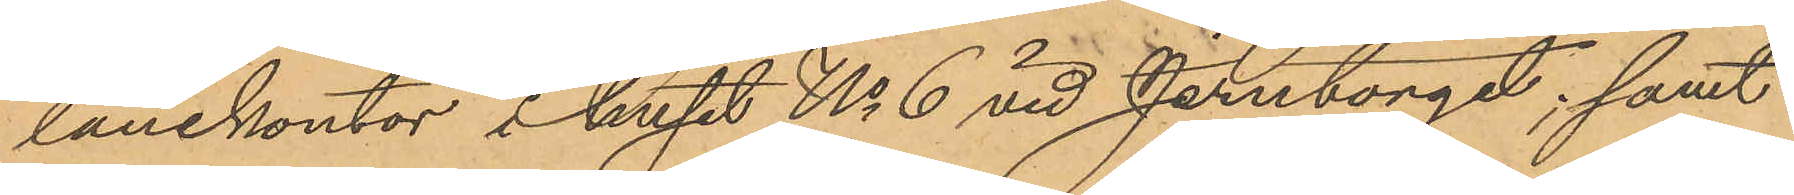lånekontor i huset No 6 vid Jerntorget; samt
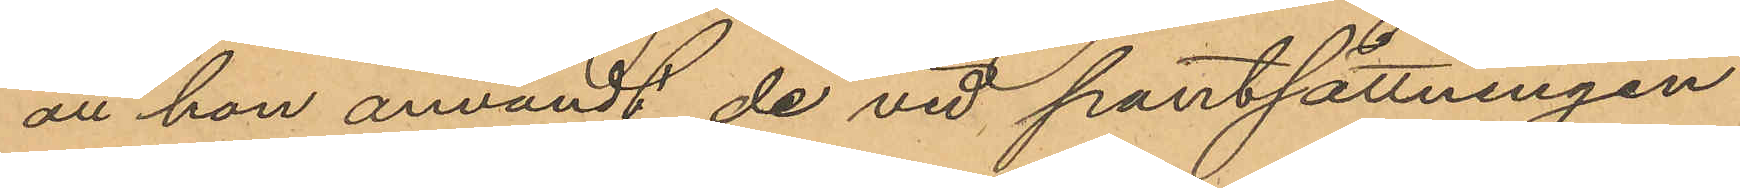att hon användt de vid pantsättningen
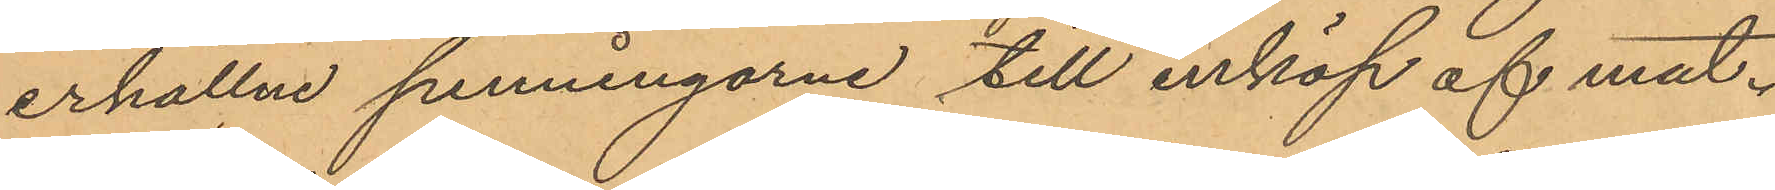erhållne penningarne till inköp af mat.
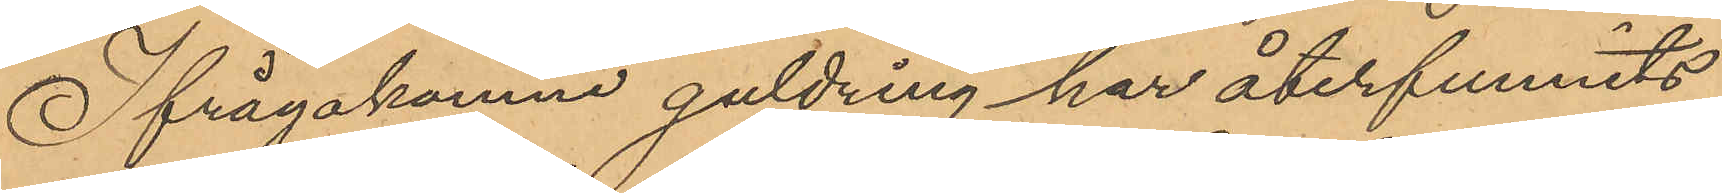Ifrågakomne guldring har återfunnits
